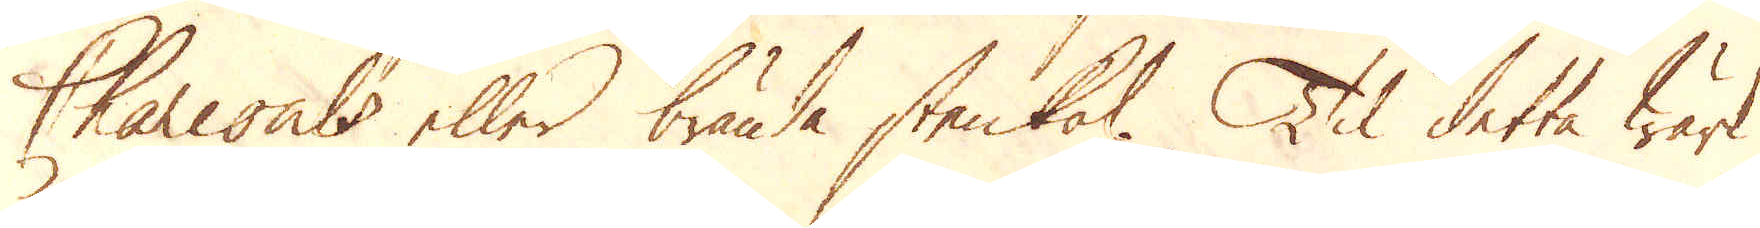Charcoals eller brända stenkol. Til detta Wärk
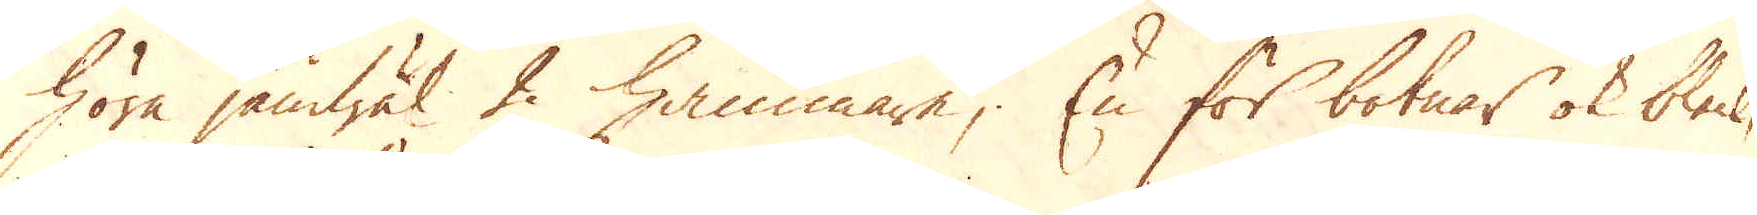höra jämwäl 2 hammare; En för botnar ok bleck,
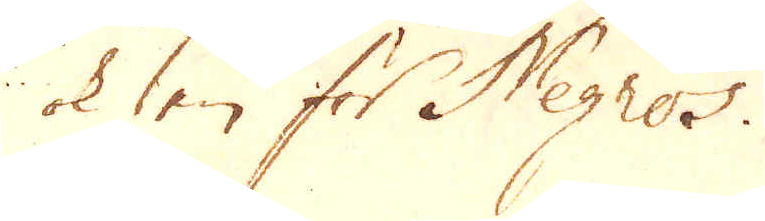ok en för Negros.
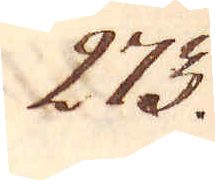273.
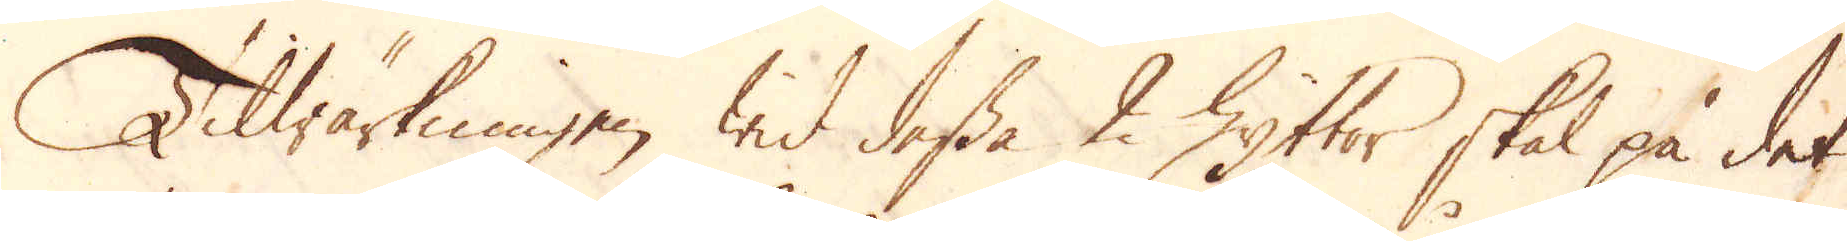Tilwärkningen wid dessa 2 Hyttor skal på det
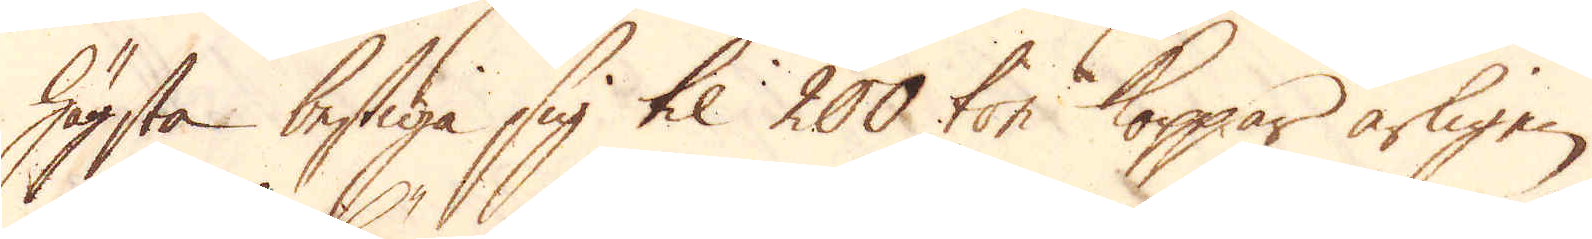högsta bestiga sig til 200 ton Koppar årligen.
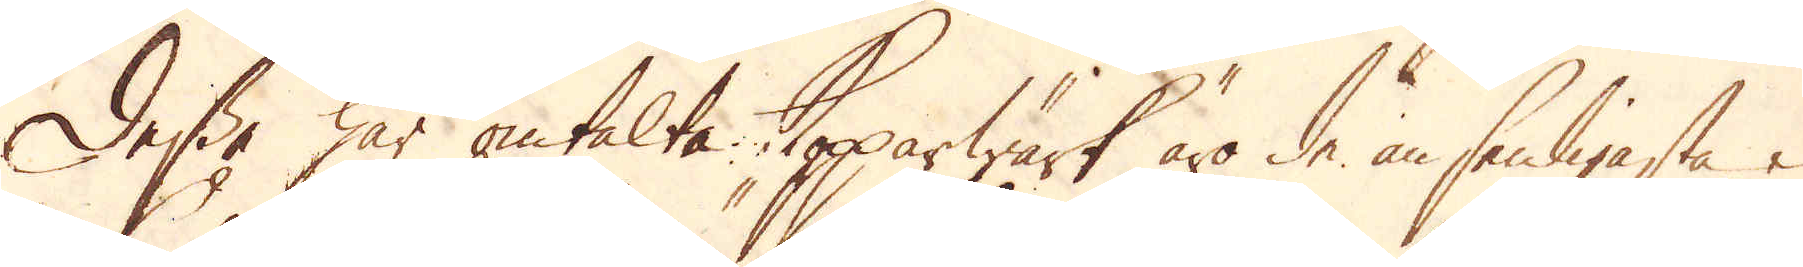Dessa här omtalte Kopparwärk äro de ansenligaste i
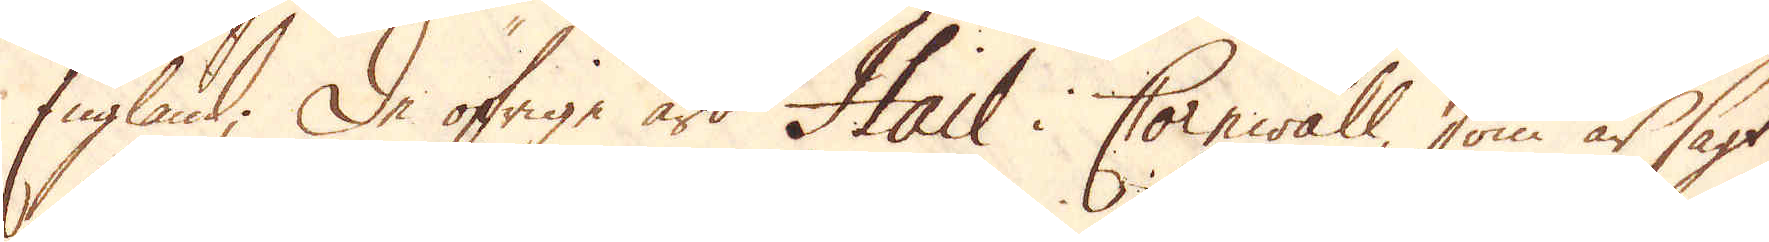England; De öfrige äro Hail i Cornwall, som är sagt
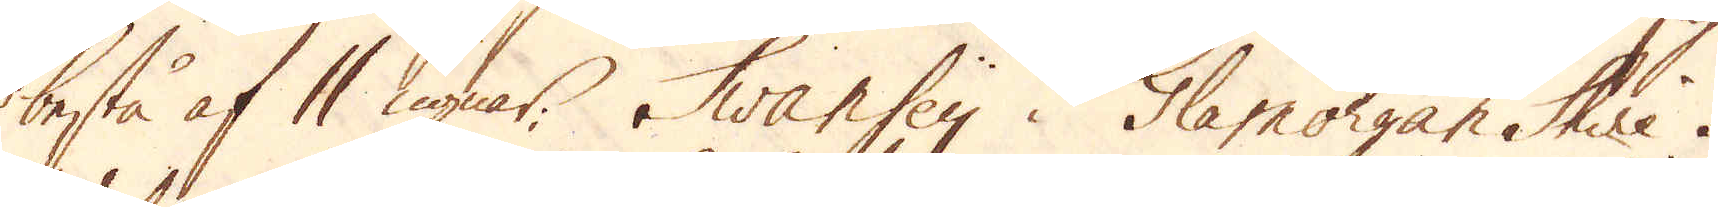bestå af 11 ugnar. Swansey i Glamorgan Shire i
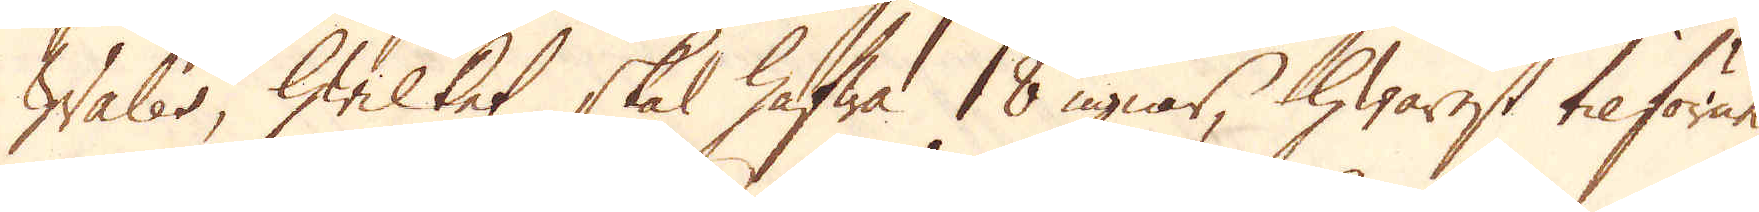Wales, hwilket skal hafwa 18 ugnar, hwarest tilförne
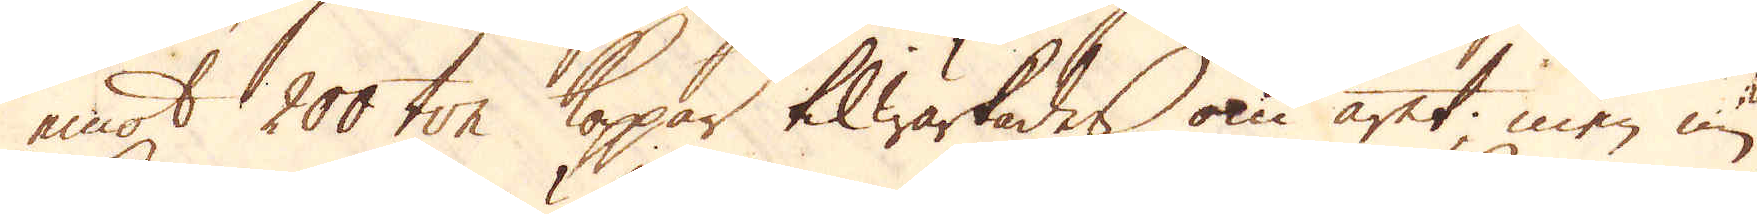emot 200 ton koppar tilwärkades om året, men nu
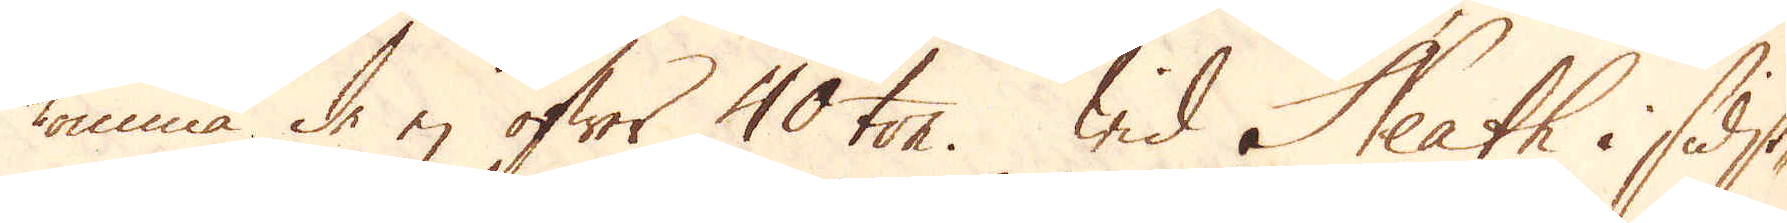komma de ej öfwer 40 ton. Wid Neath i sidst
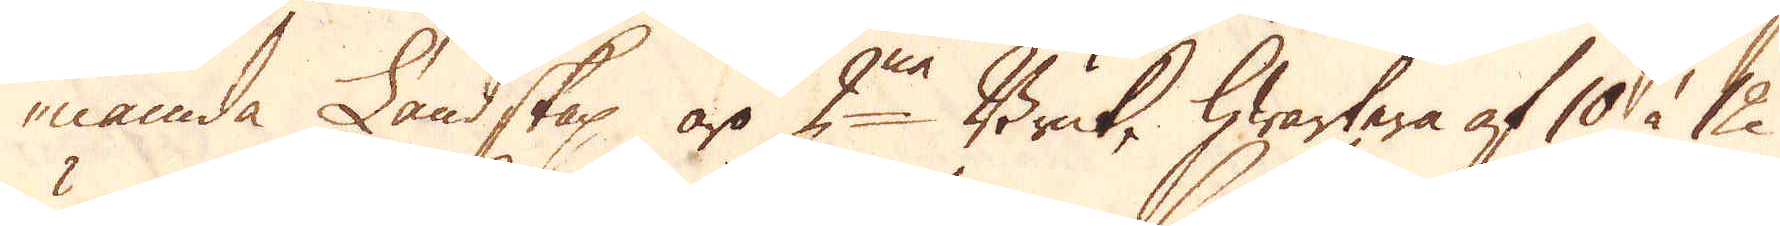nämda Landskap äro 2ne Bruk, hwartera af 10 à 12
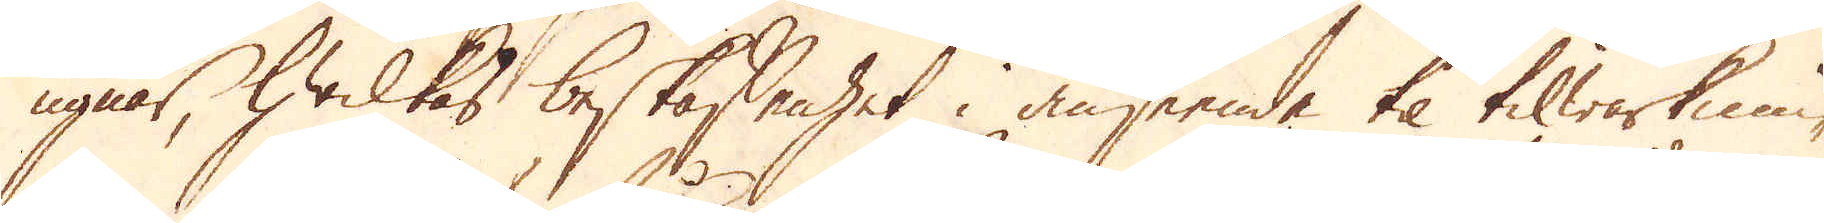ugnar, hwilkas beskaffenhet i anseende til tilwärknin-
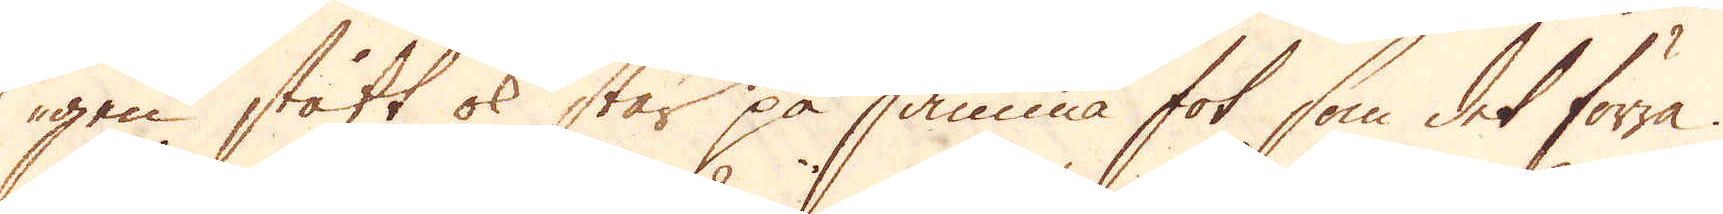gen stått ok står på samma fot som det förra.
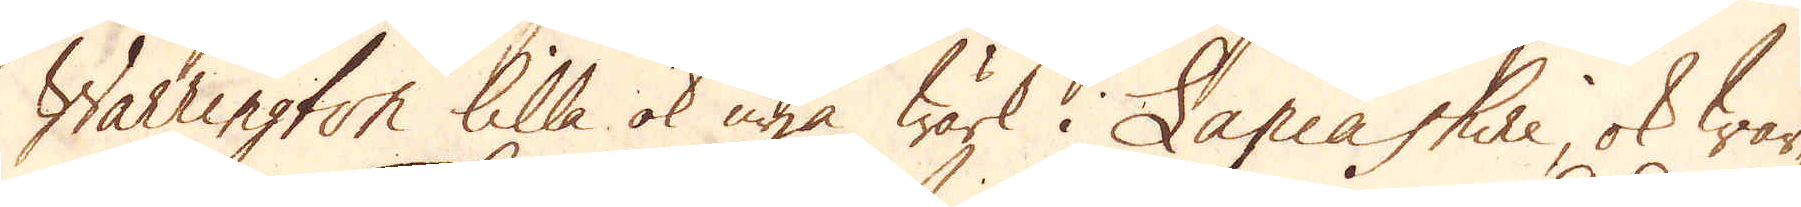Warrington lilla ok nya Wärk i Lancashire, ok wär-
